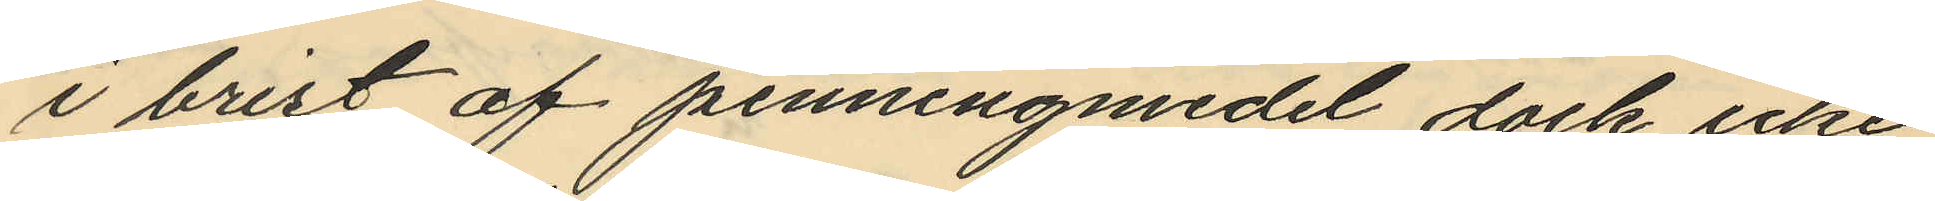i brist af penningmedel dock icke
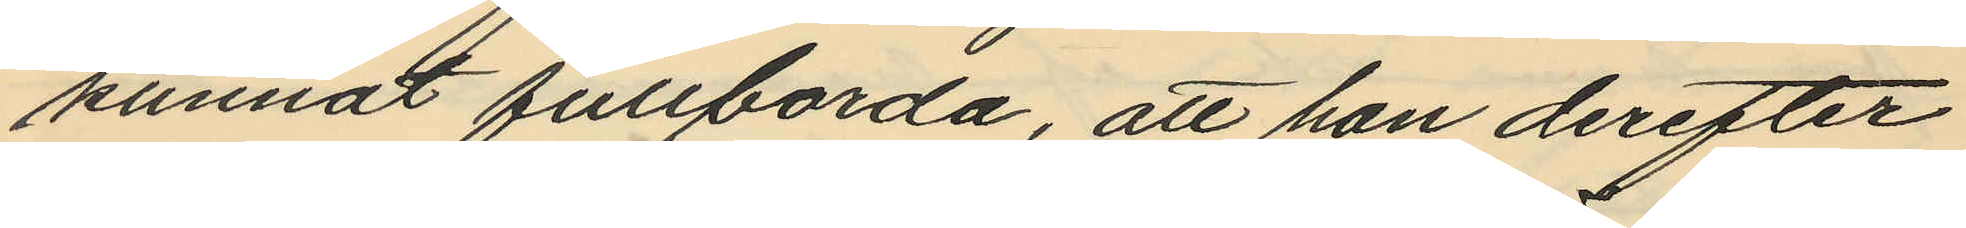kunnat fullborda, att han derefter
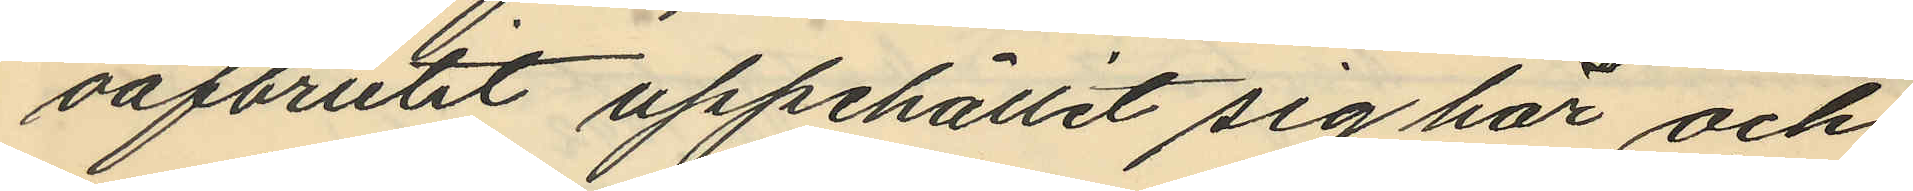oafbrutit uppehållit sig här och
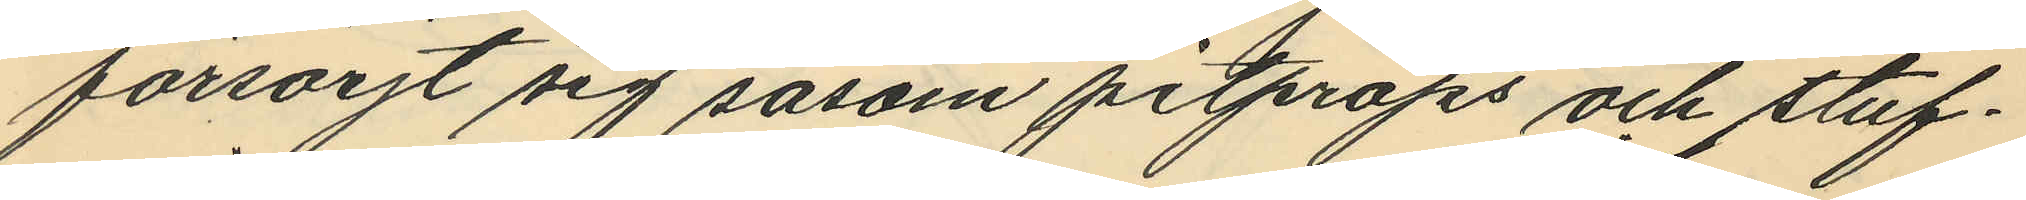försörjt sig såsom pitprops och stuf¬
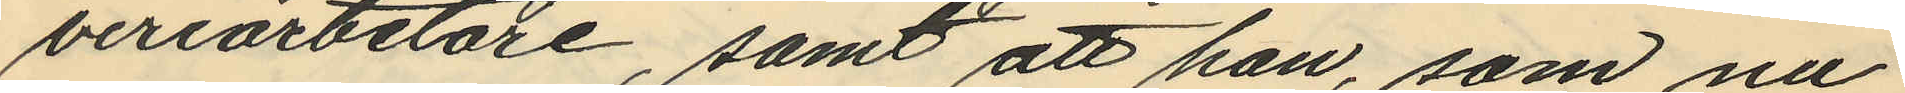veriarbetare, samt att han, som nu
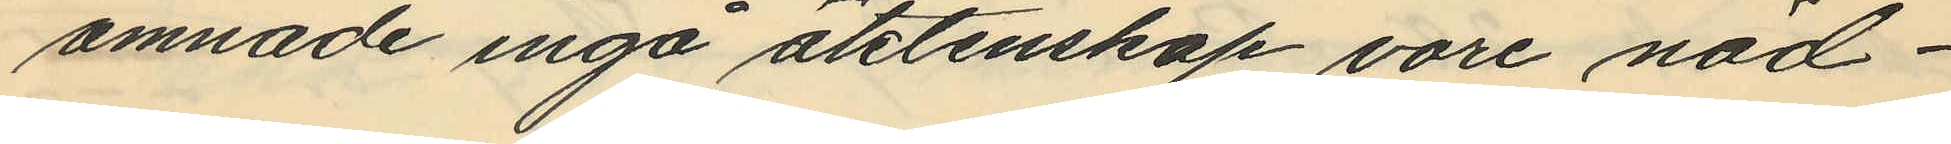ämnade ingå äktenskap vore nöd¬
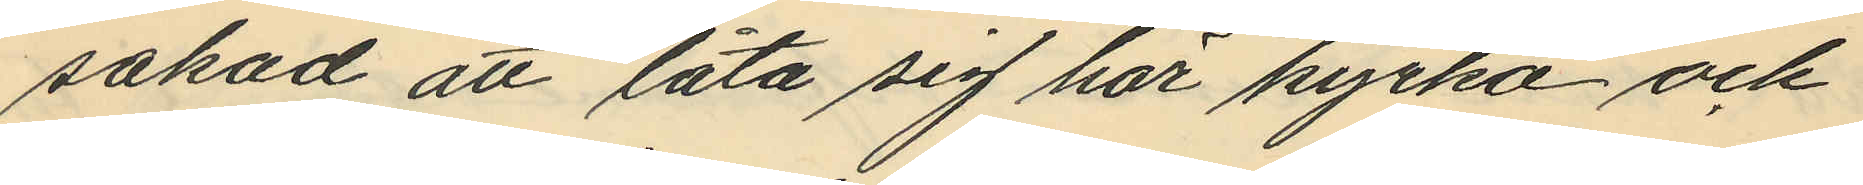sakad att låta sig här kyrko och
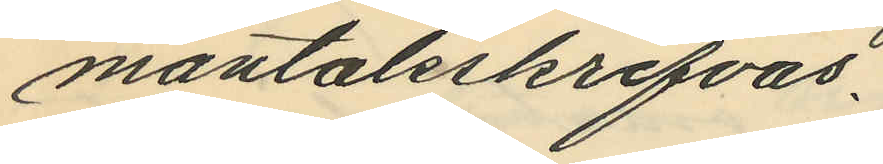mantalsskrifvas.
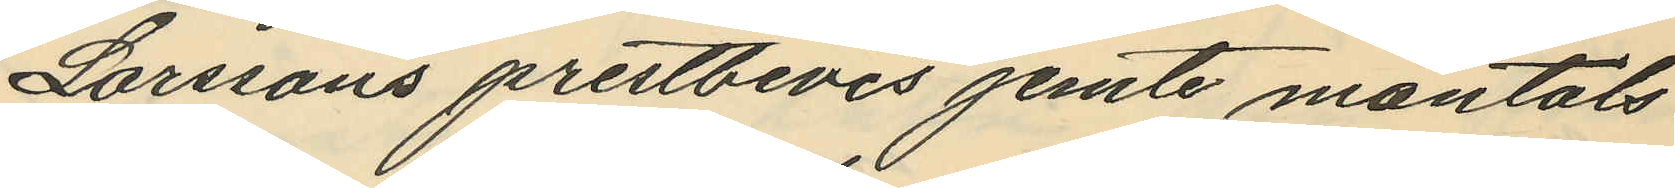Larssons prestbevis jemte mantals
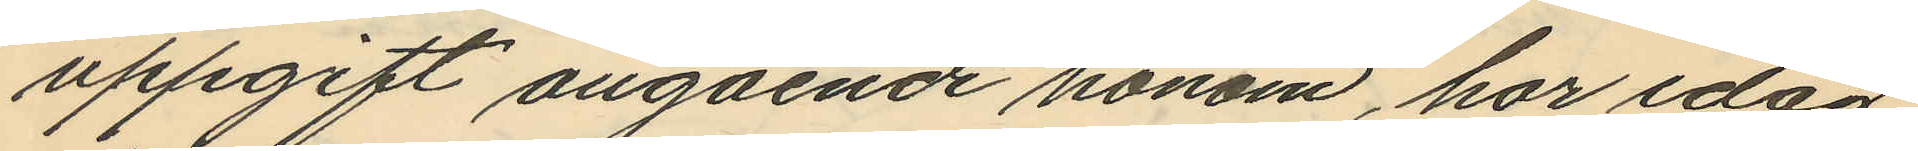uppgift angående honom, har idag
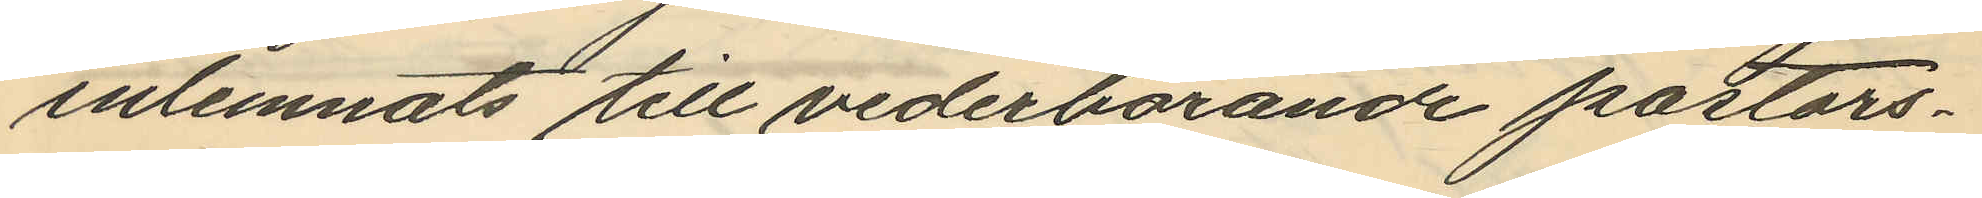inlemnats till vederbörande pastors¬
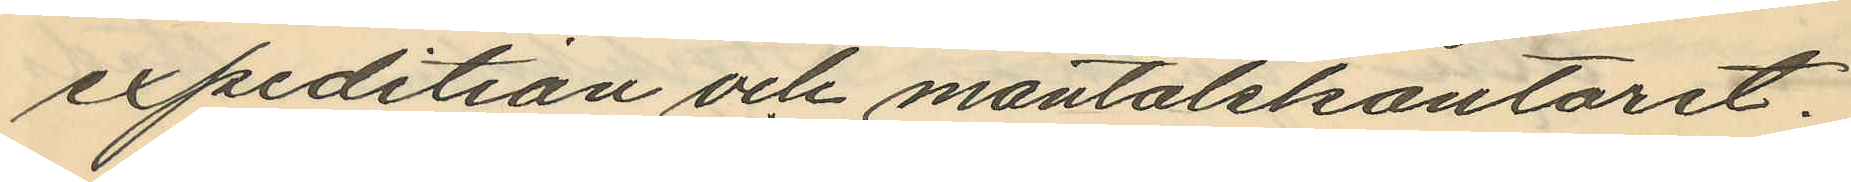expedition och mantalskontoret.
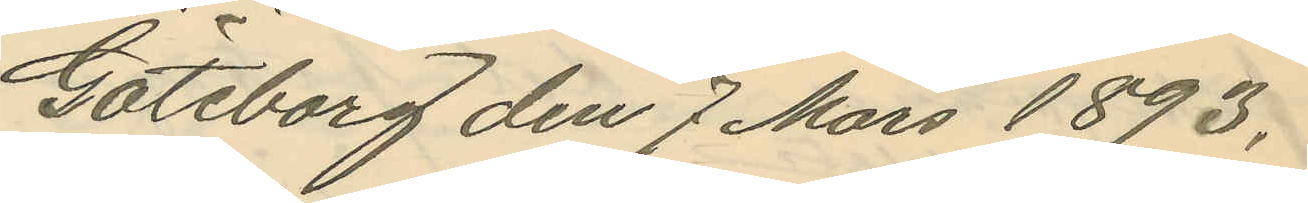Göteborg den 7 Mars 1893.
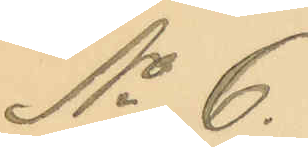No 6.
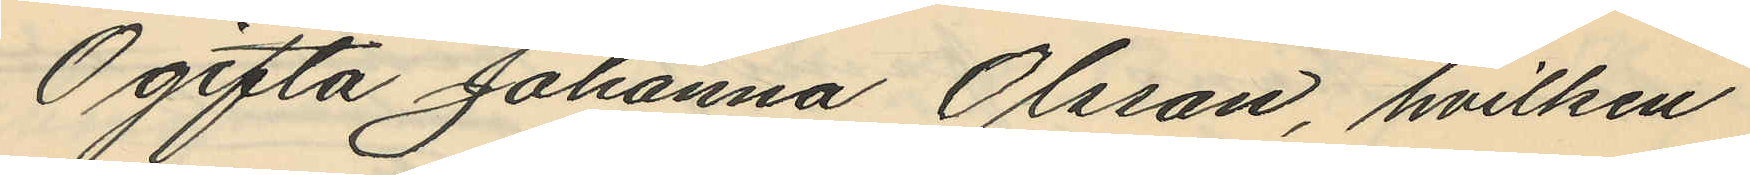Ogifta Johanna Olsson, hvilken
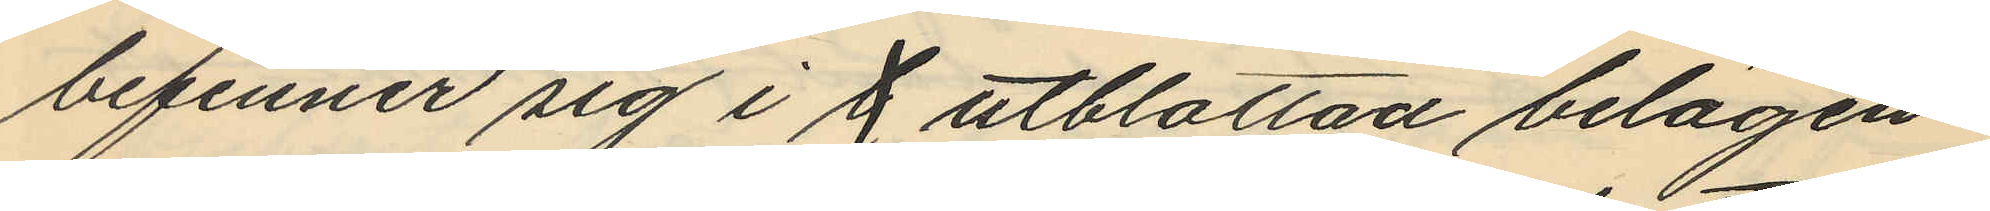befinner sig i g utblottad belägen¬
